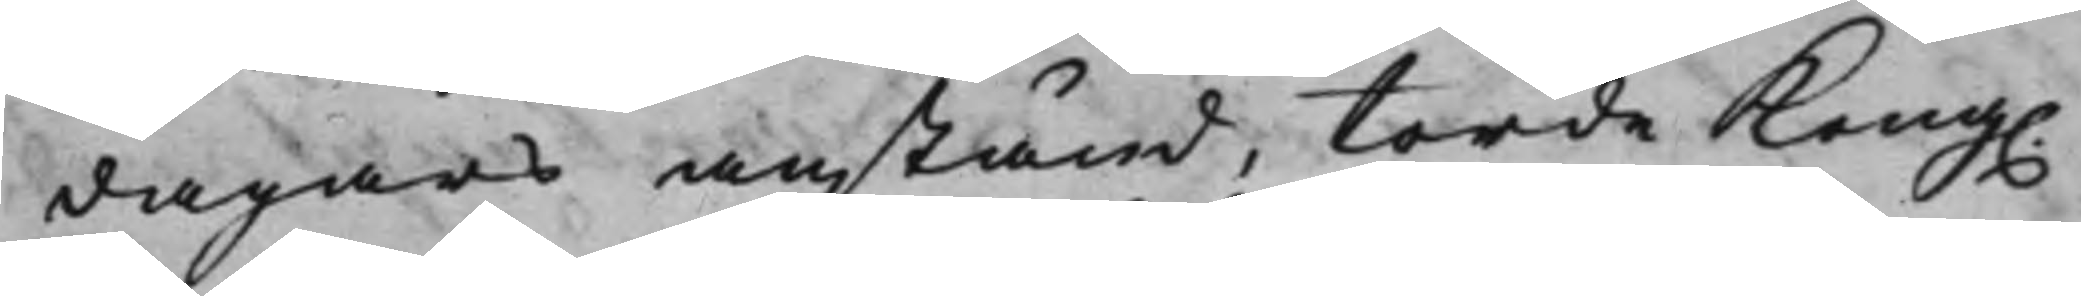dagars anstånd, torde Kong.
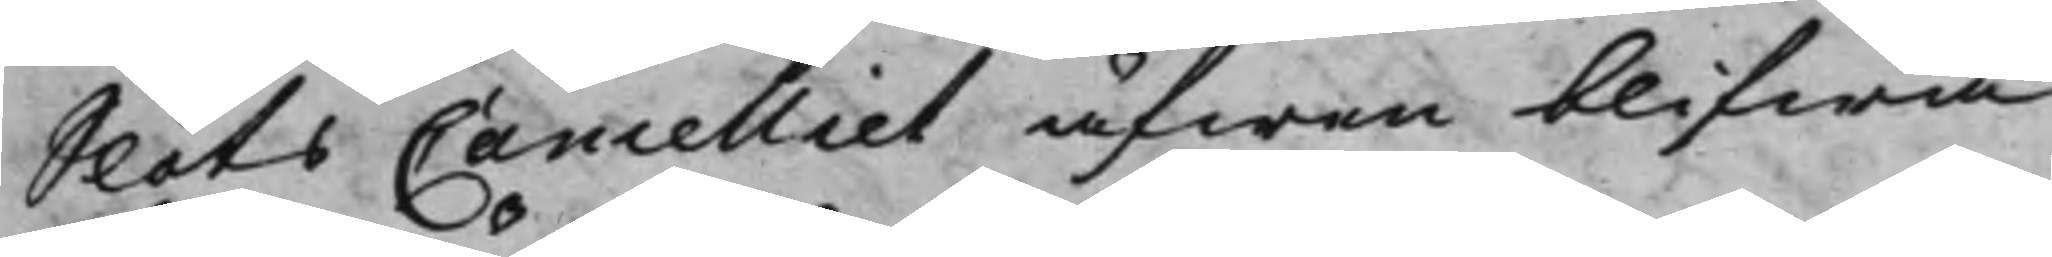SlotsCancelliet äfwen blifwa
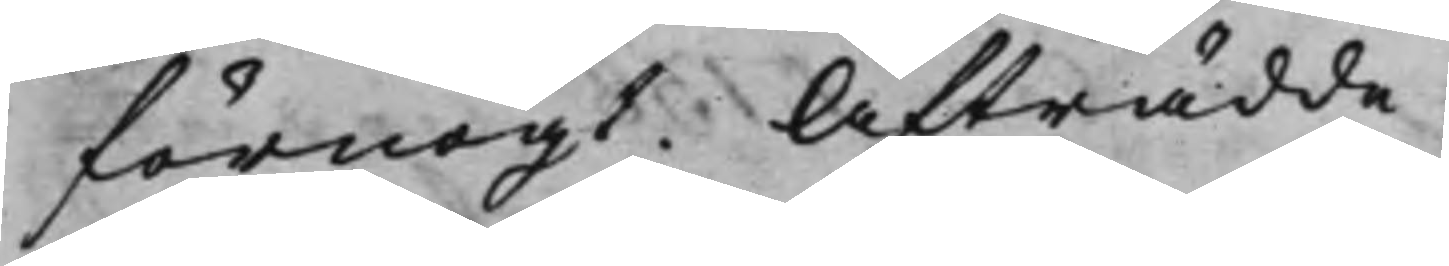förnögt. Afträdde.-
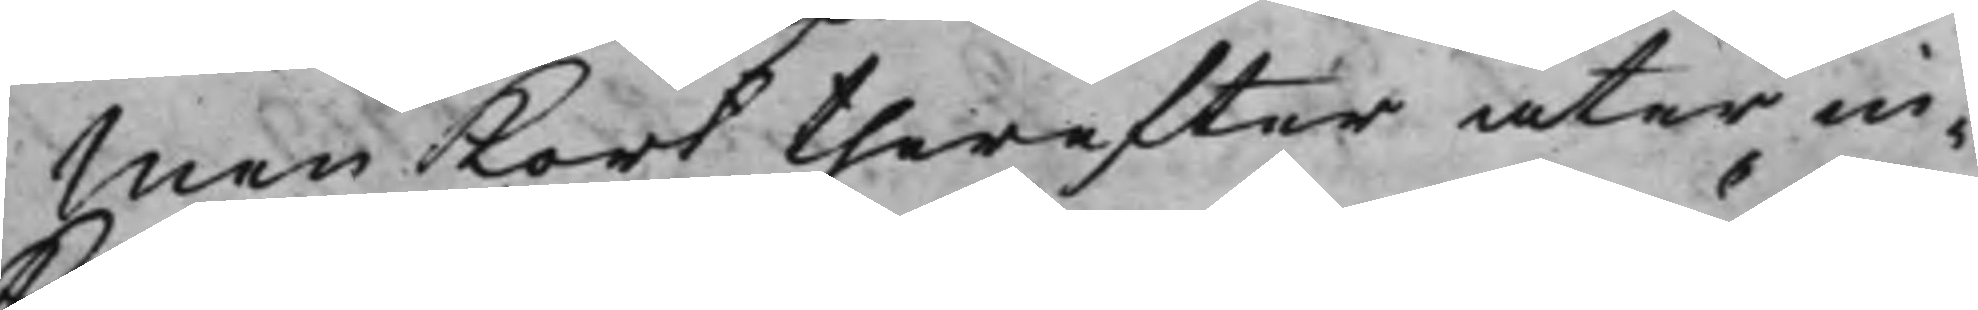Men Kort therefter åter in¬
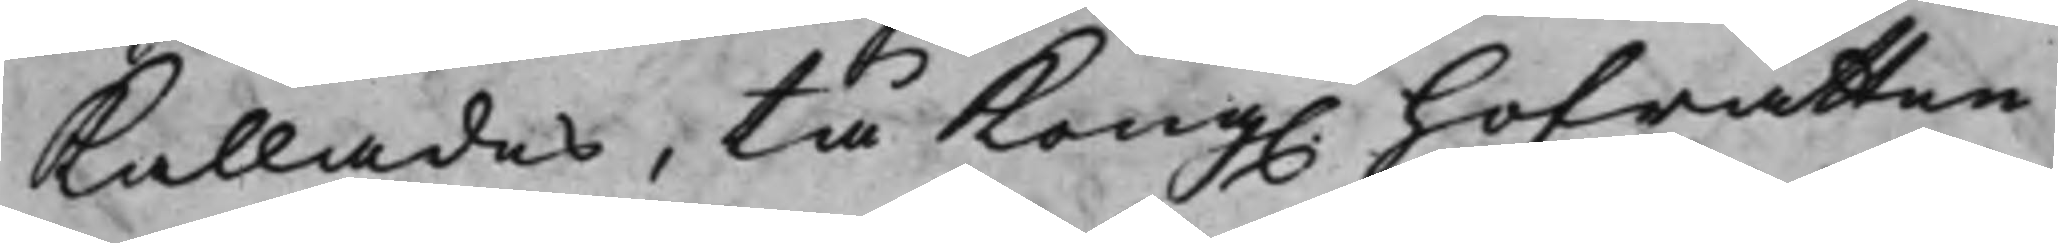Kallades, tå Kong. Hofrätten
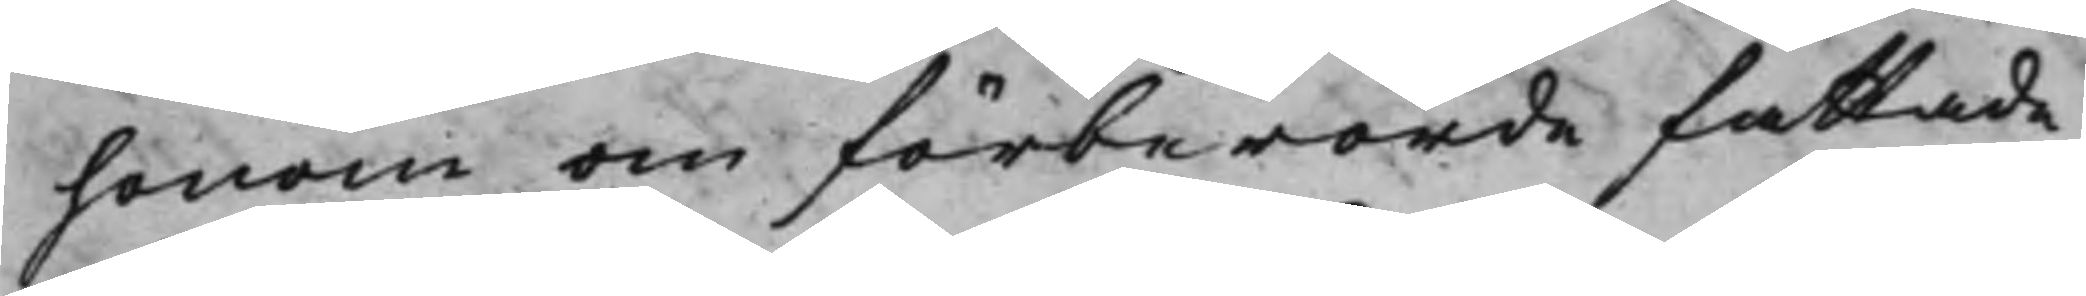honom om förberörde fattade
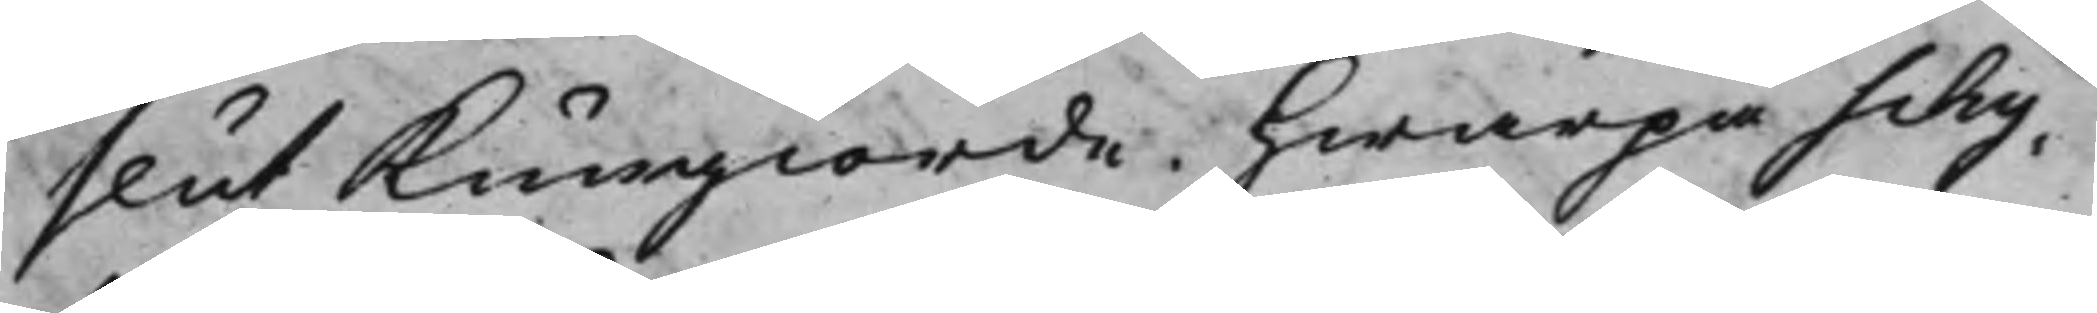slut Kungiorde. Hwarpå Schy¬
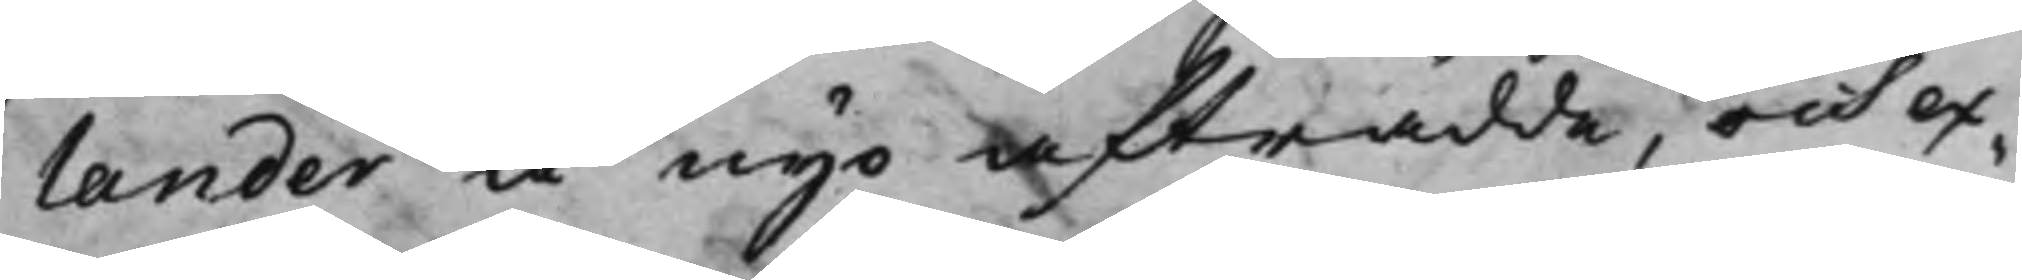lander å nyo afträdde, och ex¬
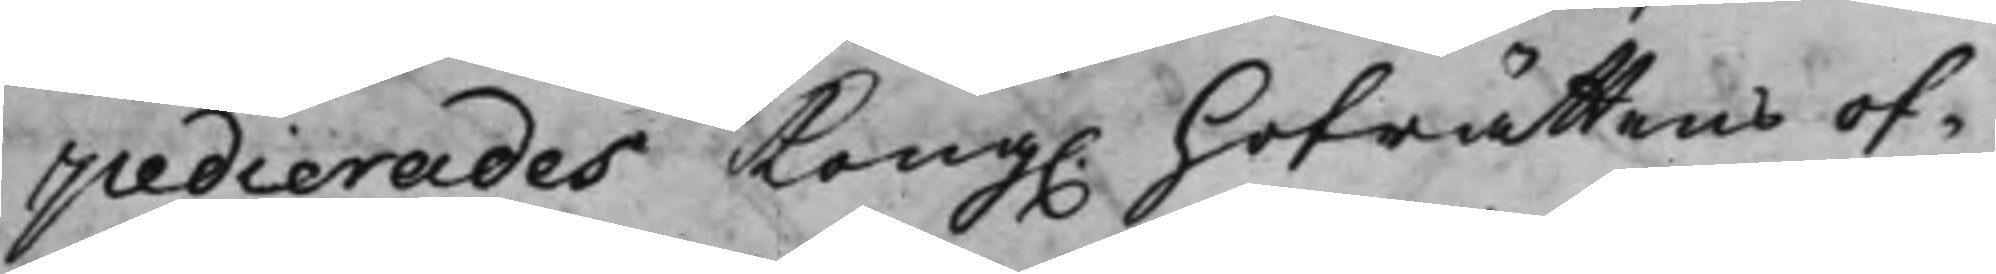pedierades Kong. Hofrättens of¬
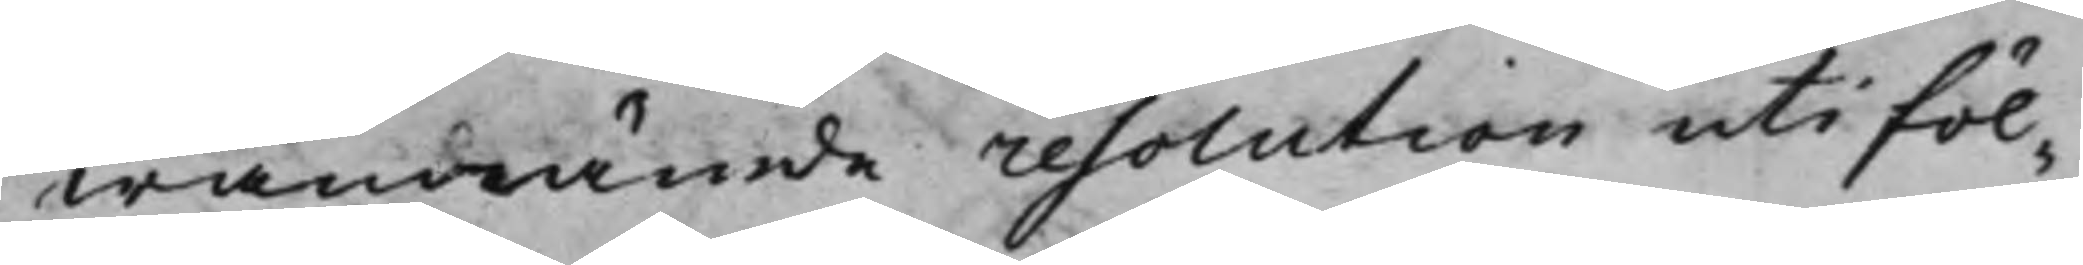wannämde resolution uti föl¬
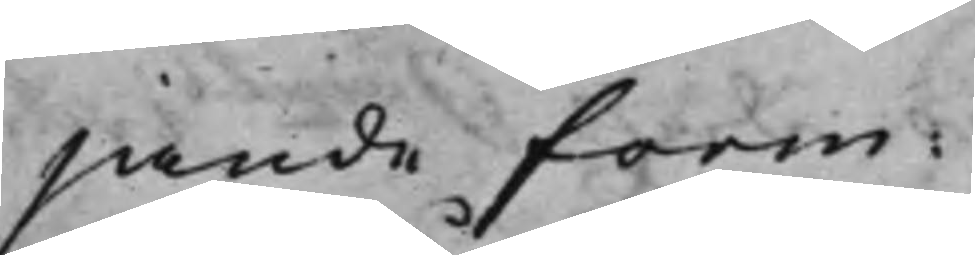jande form:
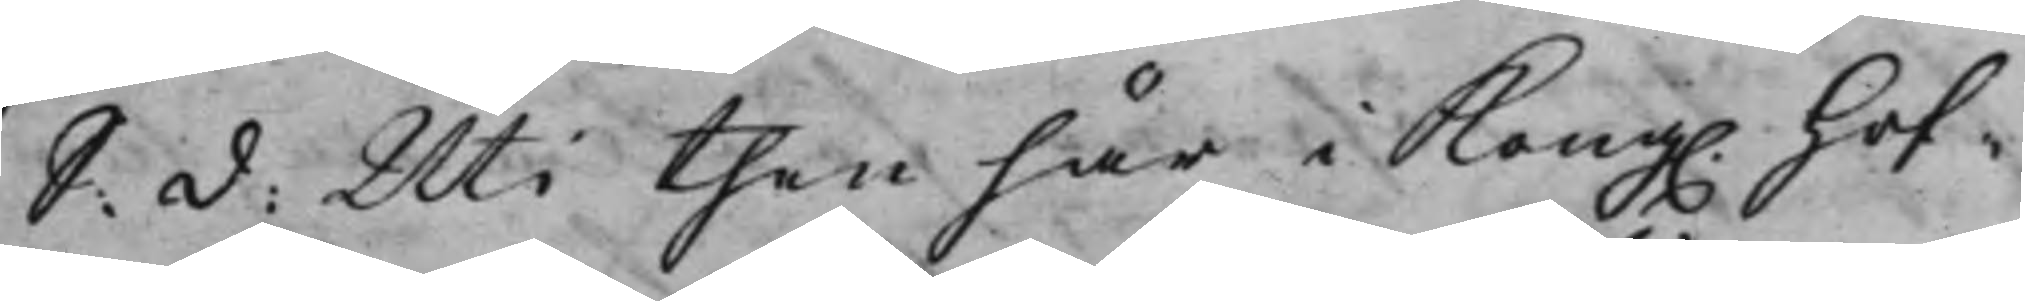S: d: Uti then här i Kong. Hof¬
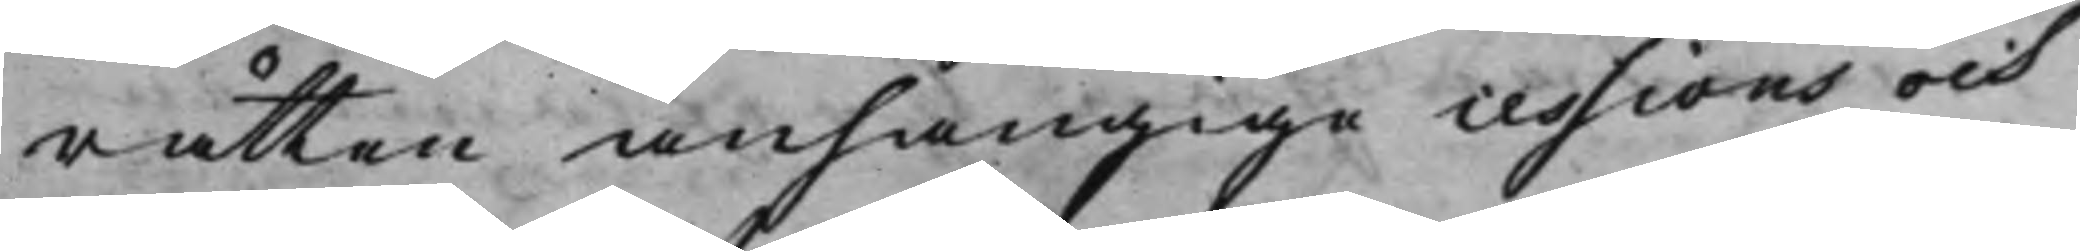rätten anhängige cessions och
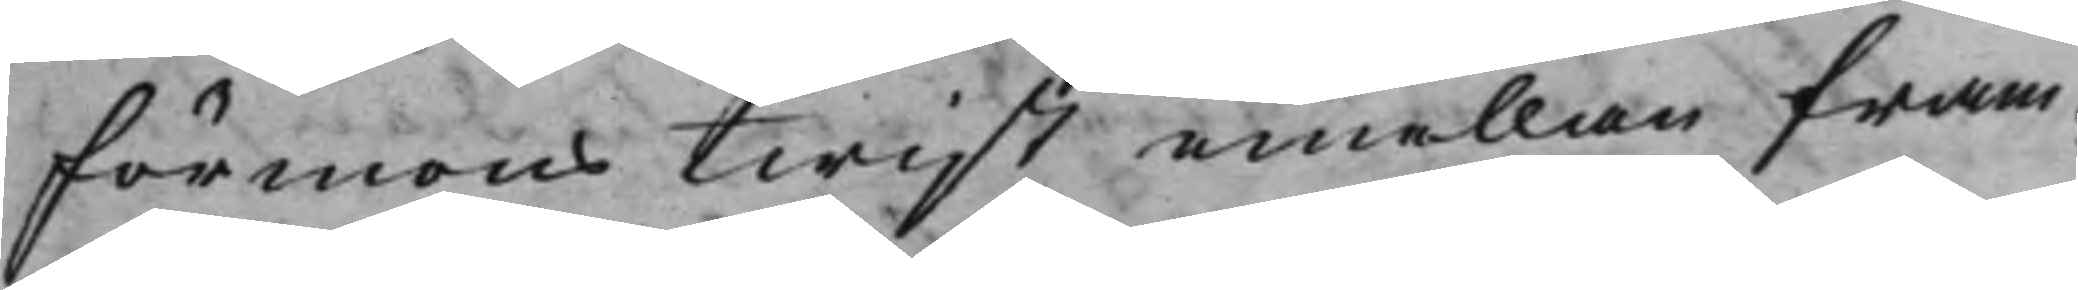Förmonstwist emellan fram¬
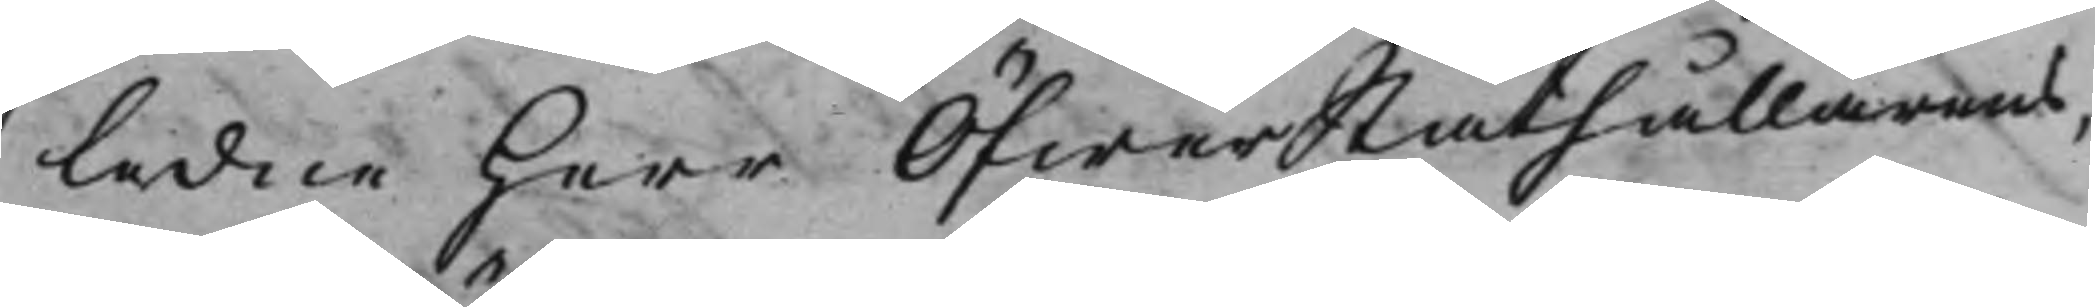ledne Herr ÖfwerStåthållarens
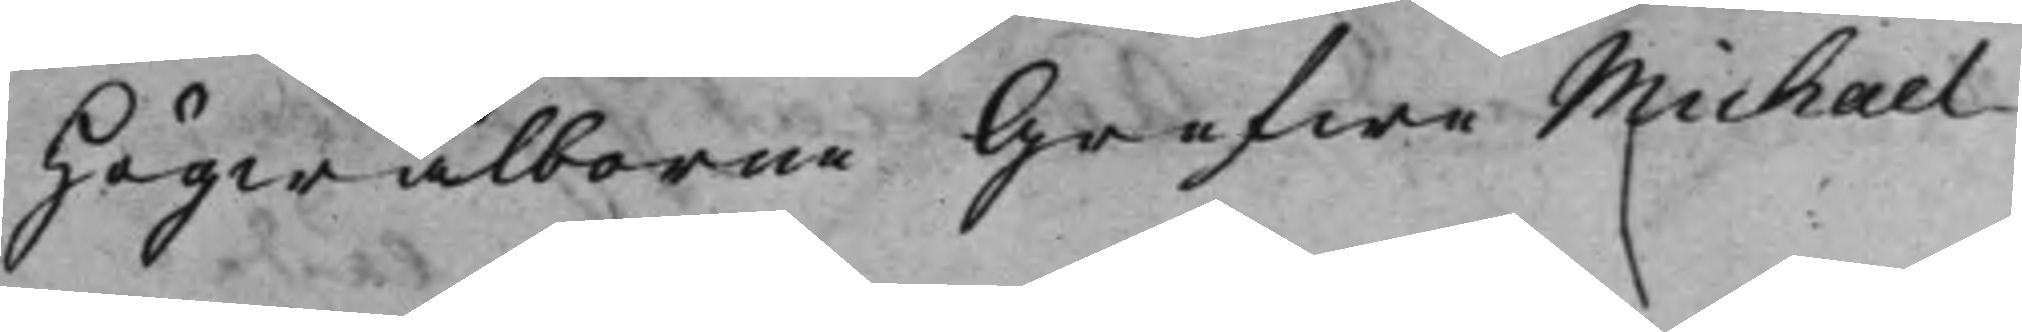Högwälborne Grefwe Michael
